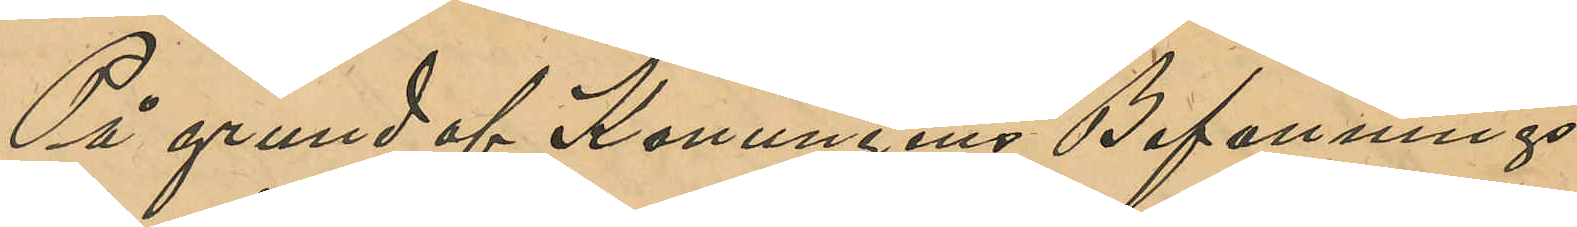På grund af Konungens Befallnings¬
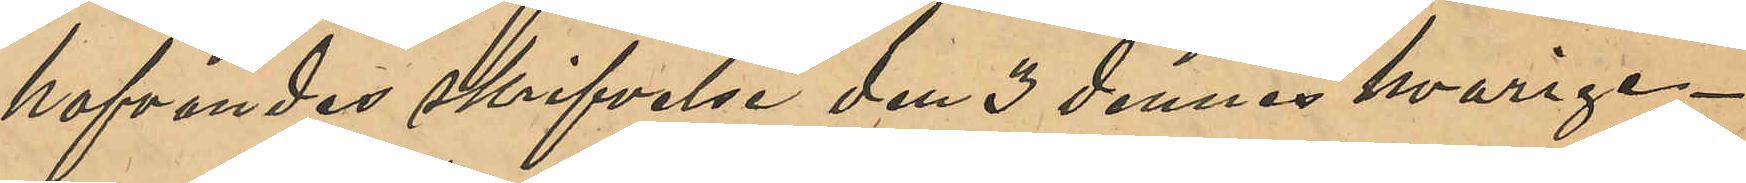hafvandes skrifvelse den 3 dennes hvarige¬
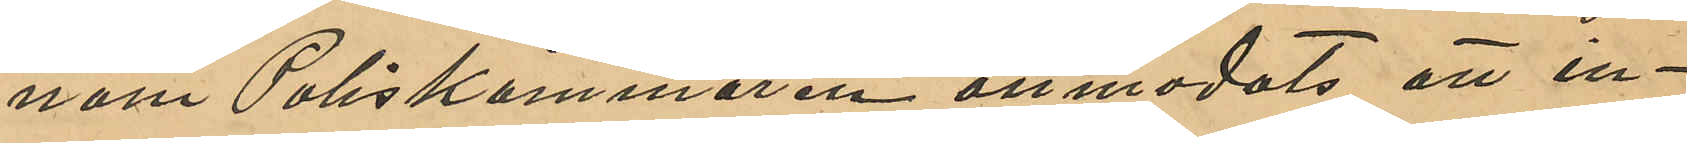nom Poliskammaren anmodats att in¬
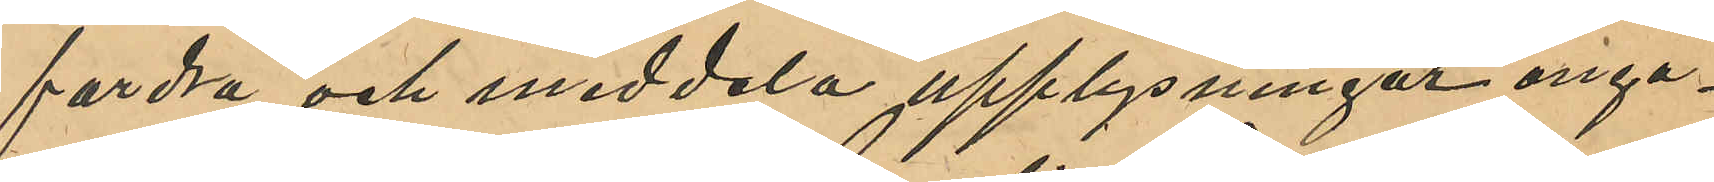fordra och meddela upplysningar angå¬
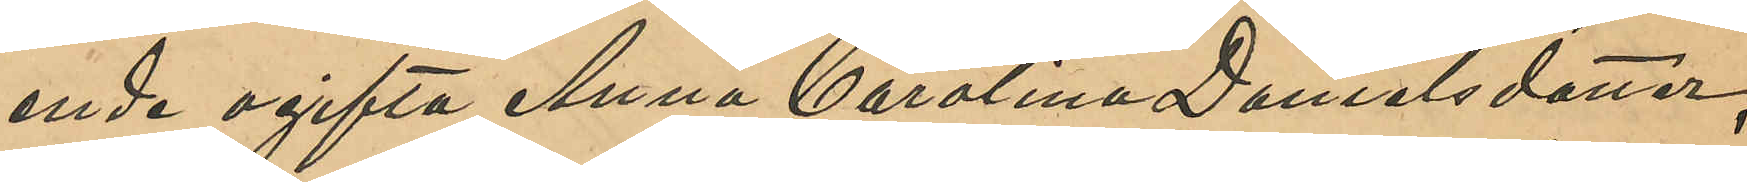ende ogifta Anna Carolina Danielsdotter,
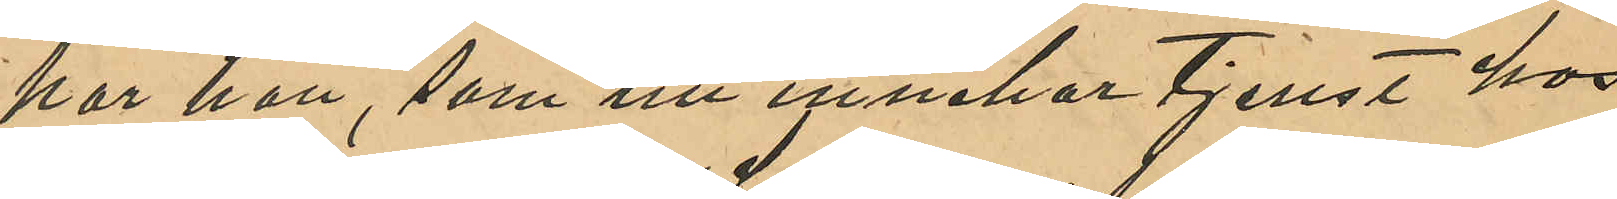har hon, som nu innehar tjenst hos
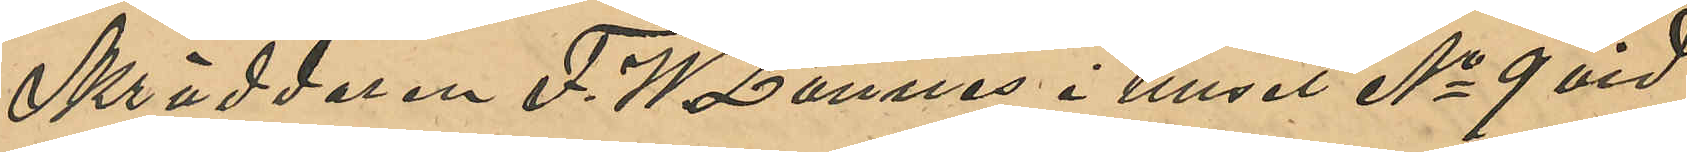Skräddaren F. W. Lannes i huset No 9 vid
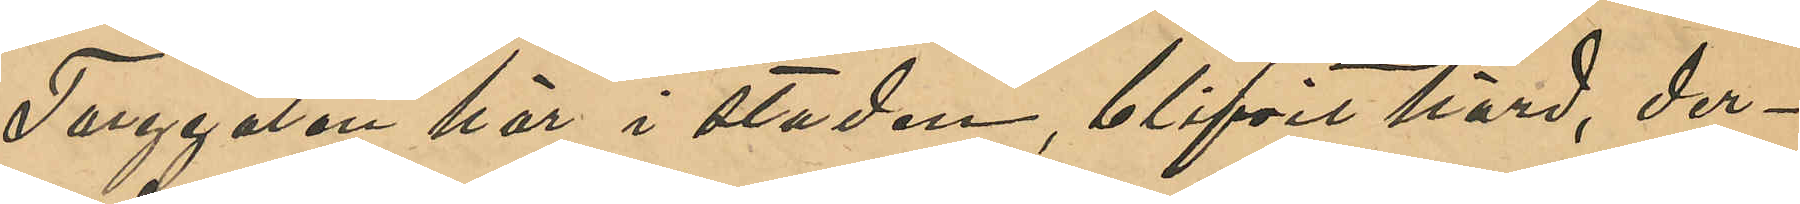Torggatan här i staden, blifvit hörd, der¬
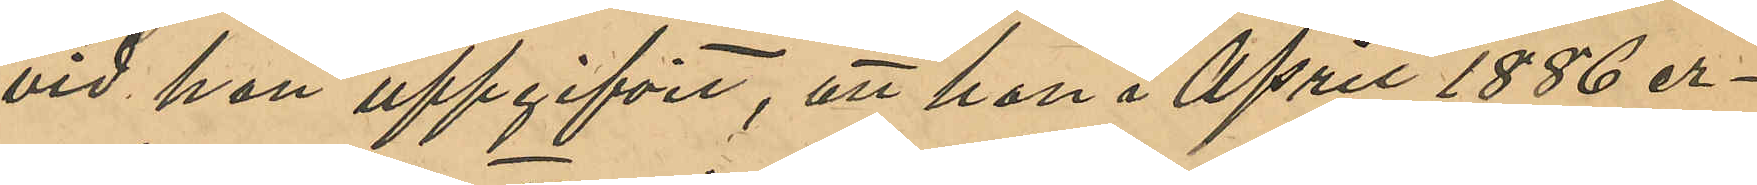vid hon uppgifvit, att hon i April 1886 er¬
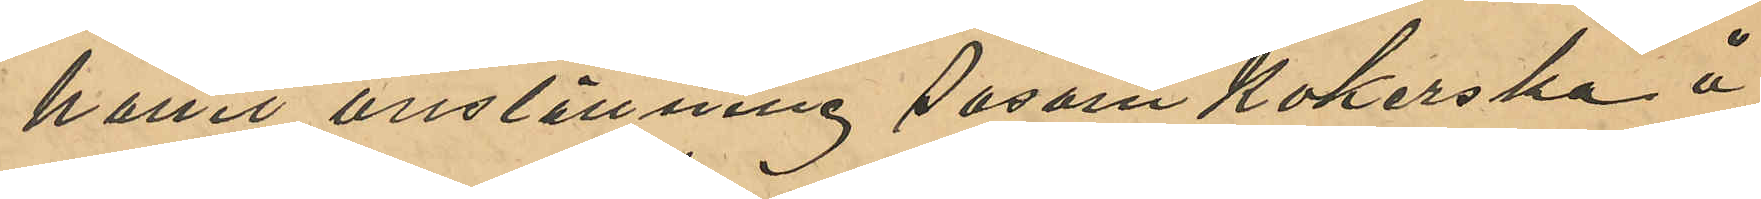hållit anställning såsom Kokerska å
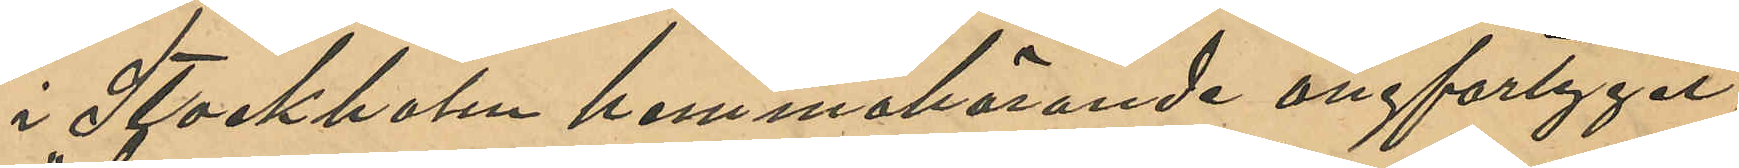i Stockholm hemmahörande ångfartyget
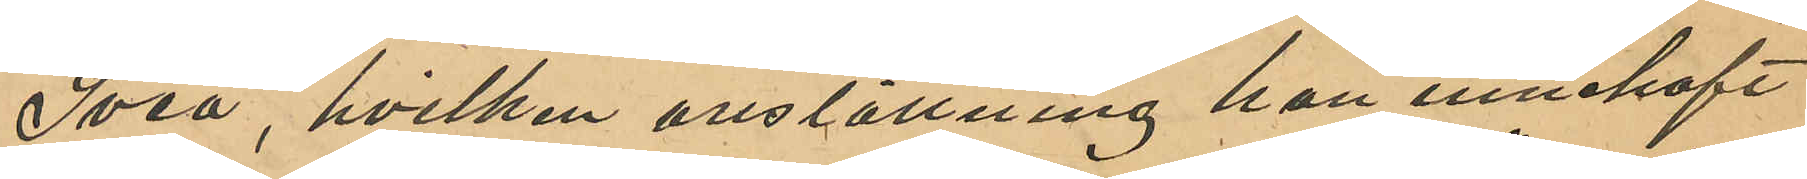"Svea", hvilken anställning hon innehaft
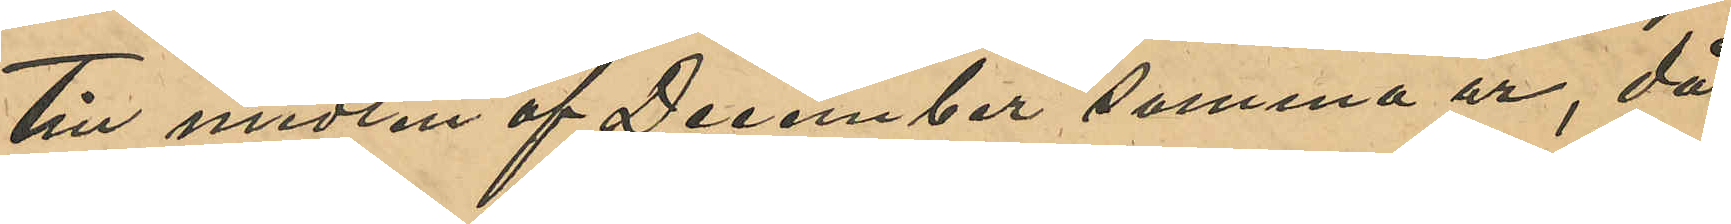till midten af December samma år, då
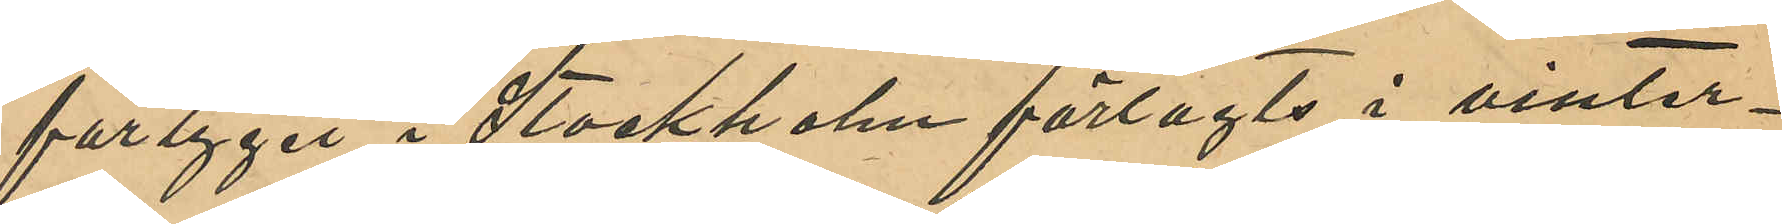fartygets i Stockholm förlagts i vinter¬
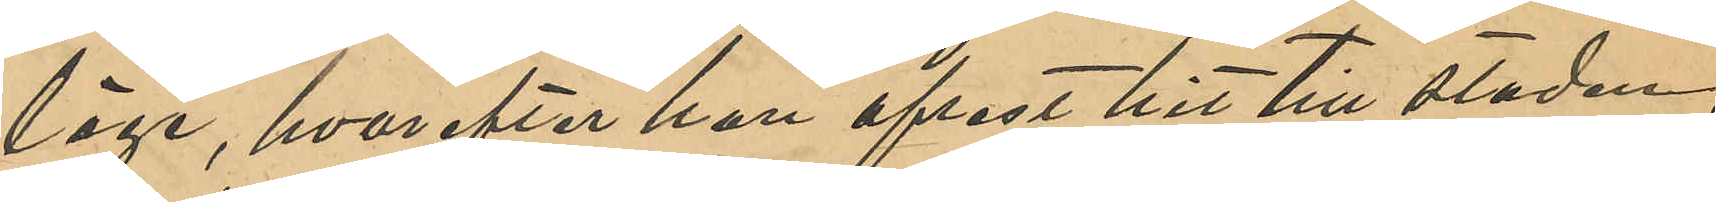läge, hvarefter hon afrest hit till staden,
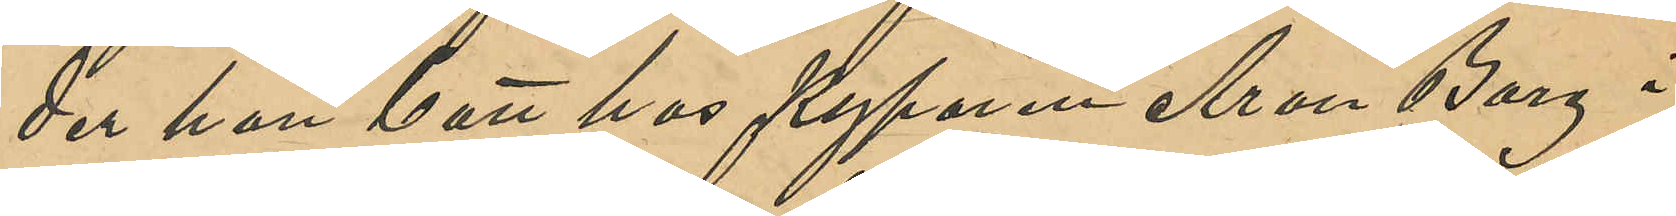der hon bott hos Kyparen Aron Berg i
